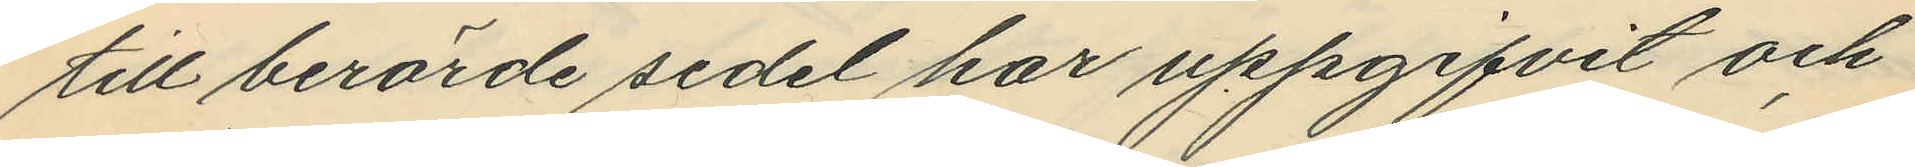till berörde sedel har uppgifvit och
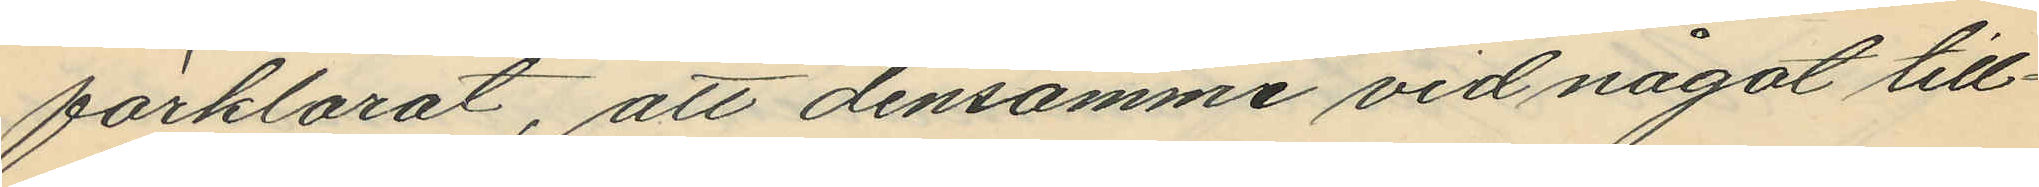förklarat, att densamme vid något till¬
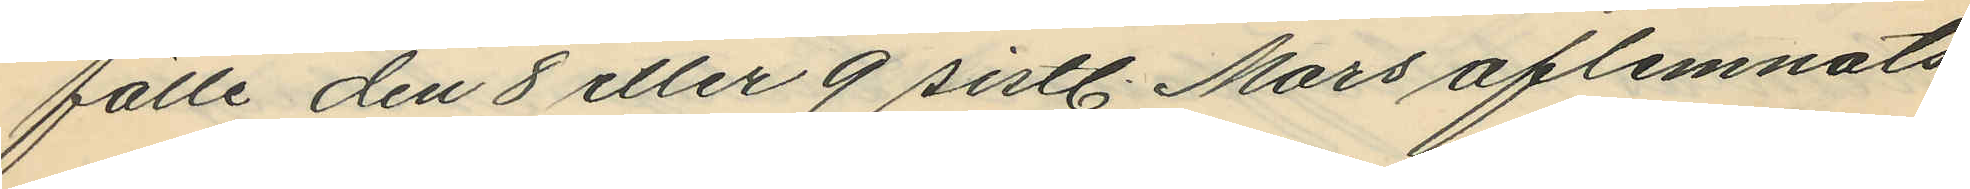fälle den 8 eller 9 sistl. Mars aflemnats
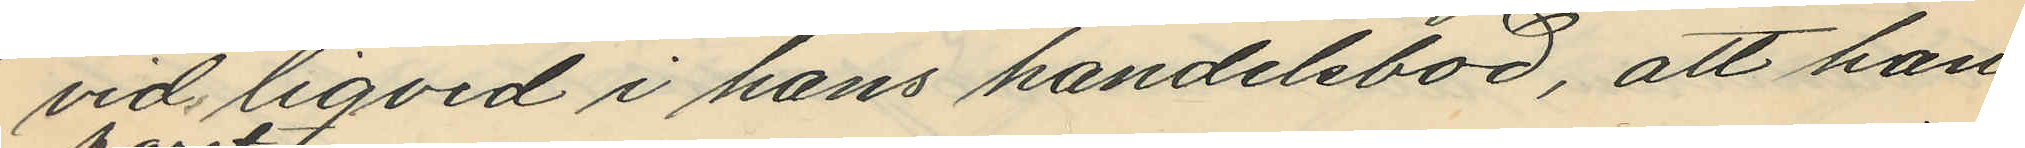vid liqvid i hans handelsbod, att han
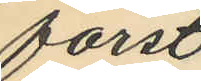först
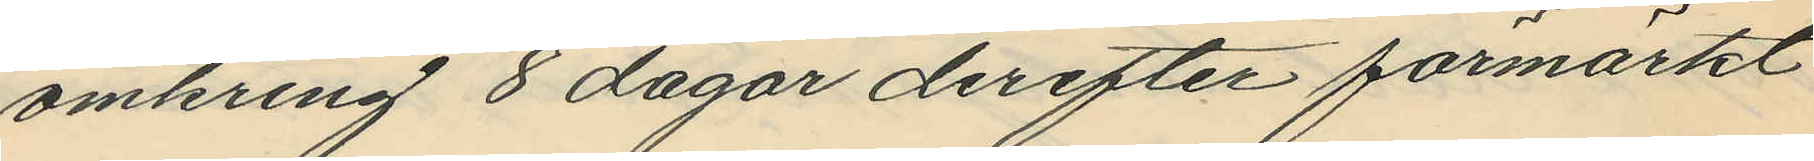omkring 8 dagar derefter förmärkt
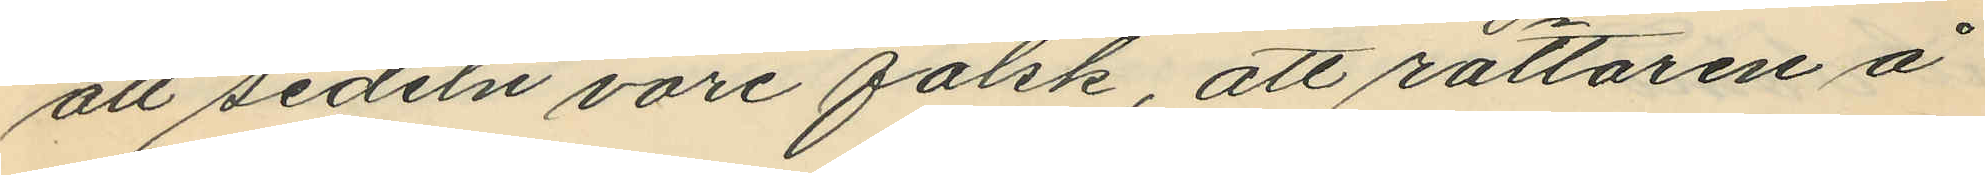att sedeln vore falsk, att rättaren å
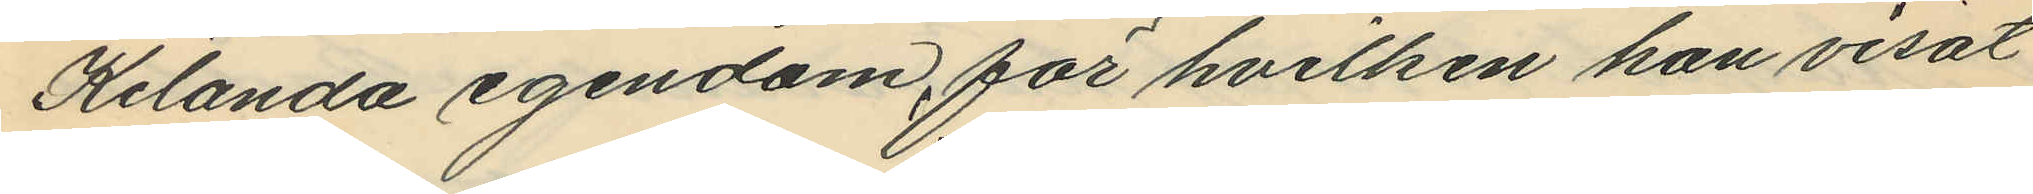Kilanda egendom, för hvilken han visat
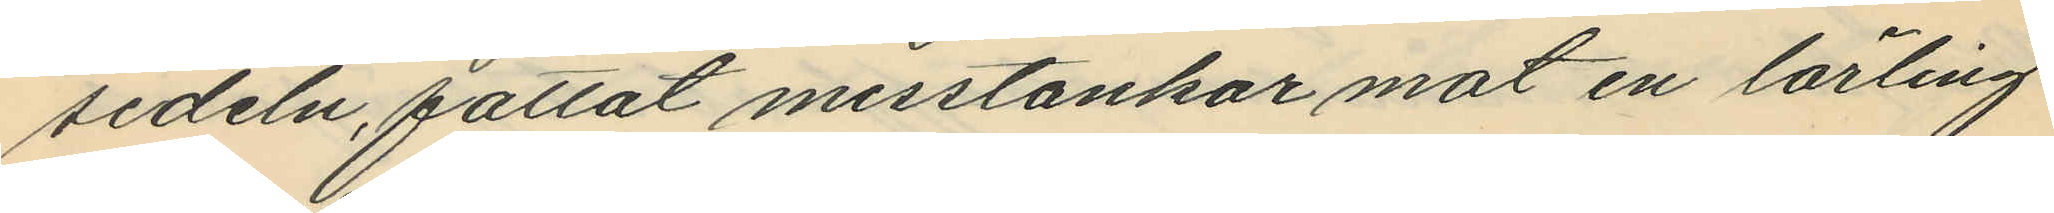sedeln, fattat misstankar mot en lärling
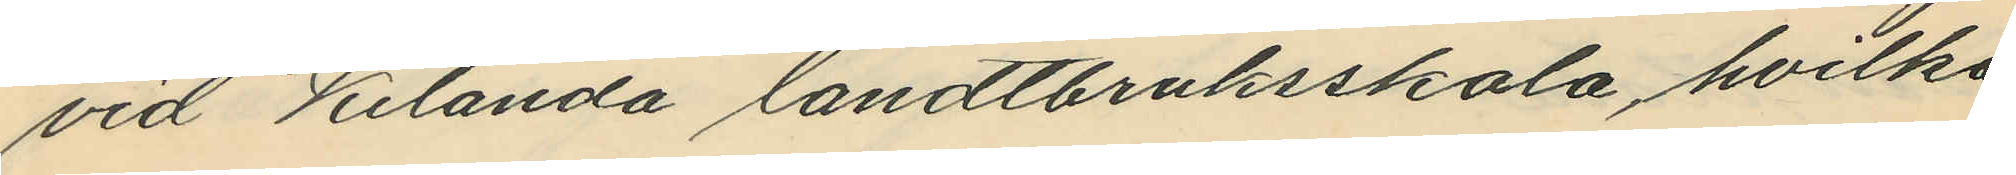vid Kilanda landtbruksskola, hvilka
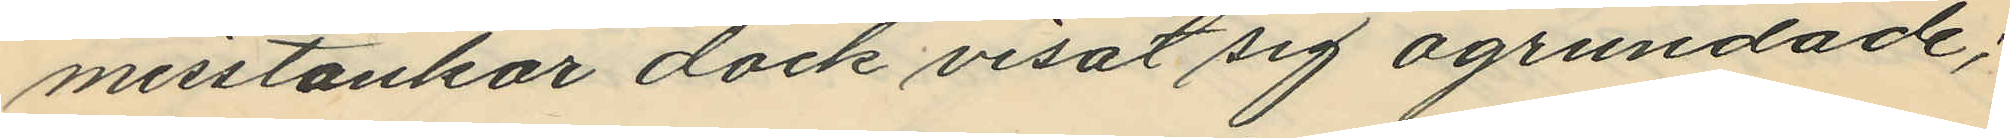misstankar dock visat sig ogrundade;
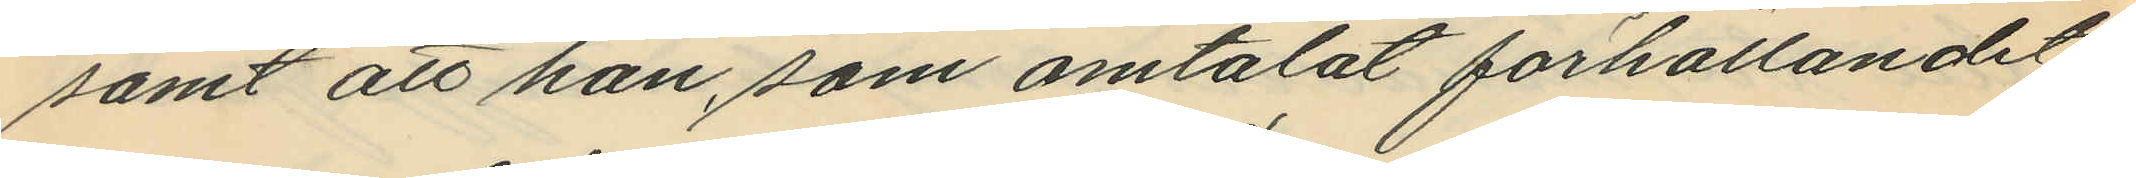samt att han, som omtalat förhållandet
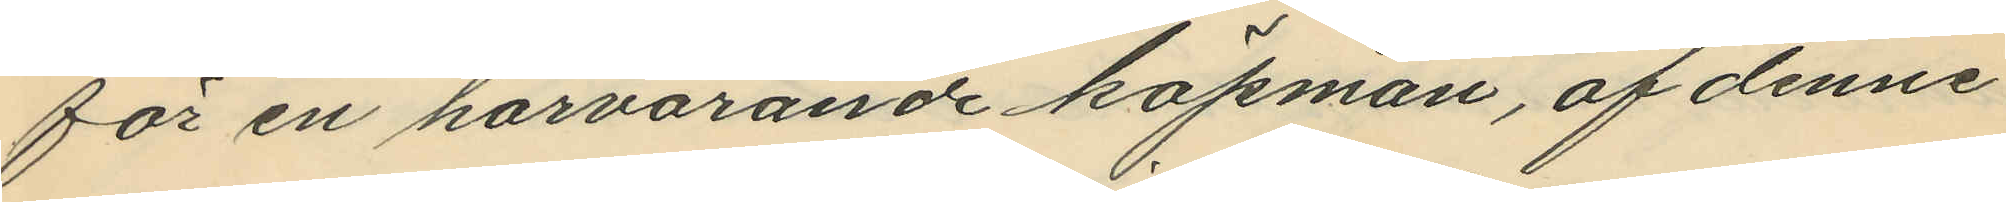för en härvarande köpman, af denne
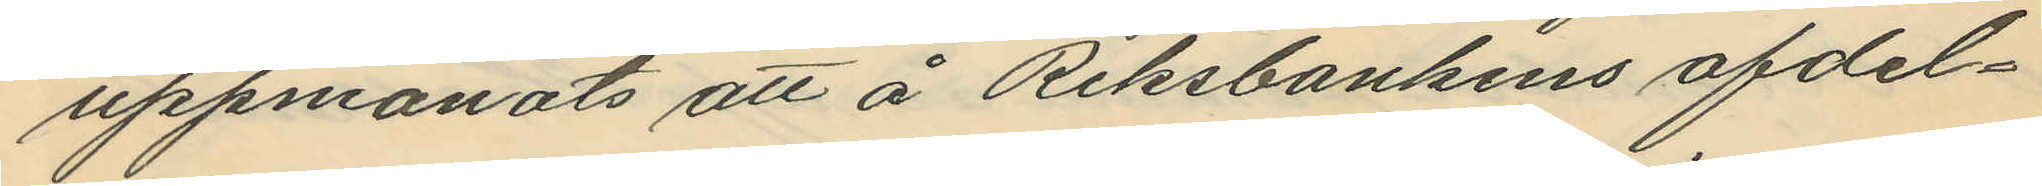uppmanats att å Riksbankens afdel¬
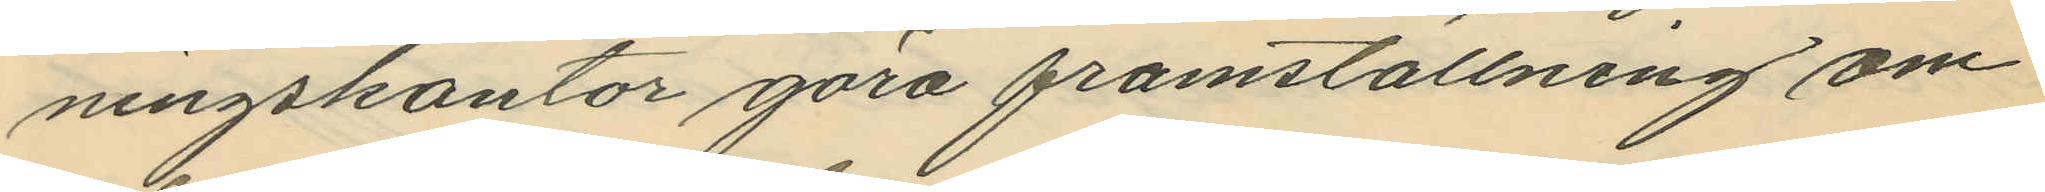ningskontor göra framställning om
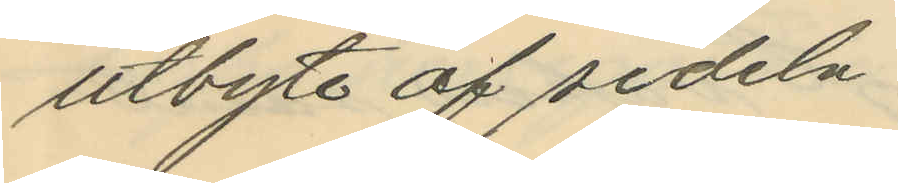utbyte af sedeln.
